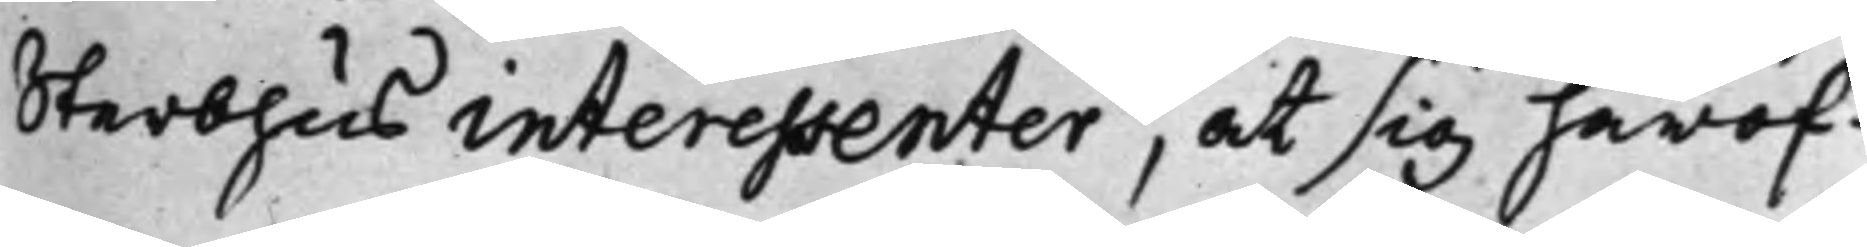Sterbhus interessenter, at sig häröf¬
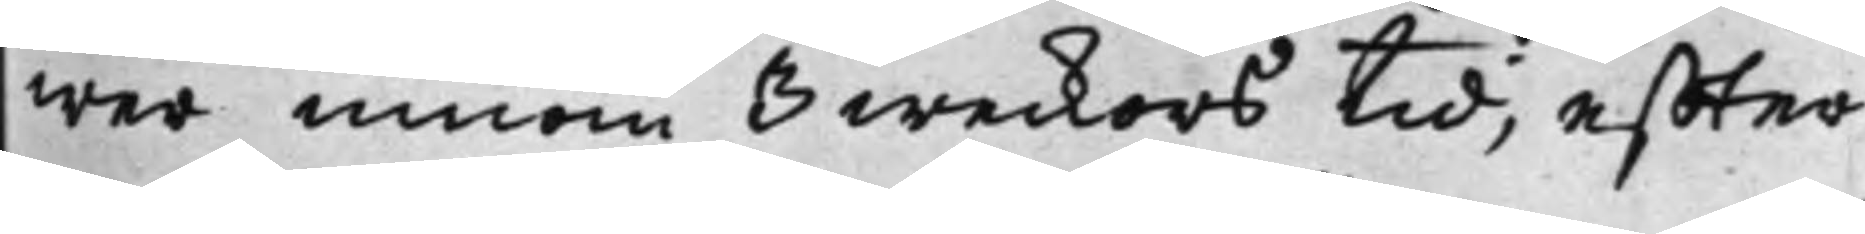wer innom 3 weckors tid, effter
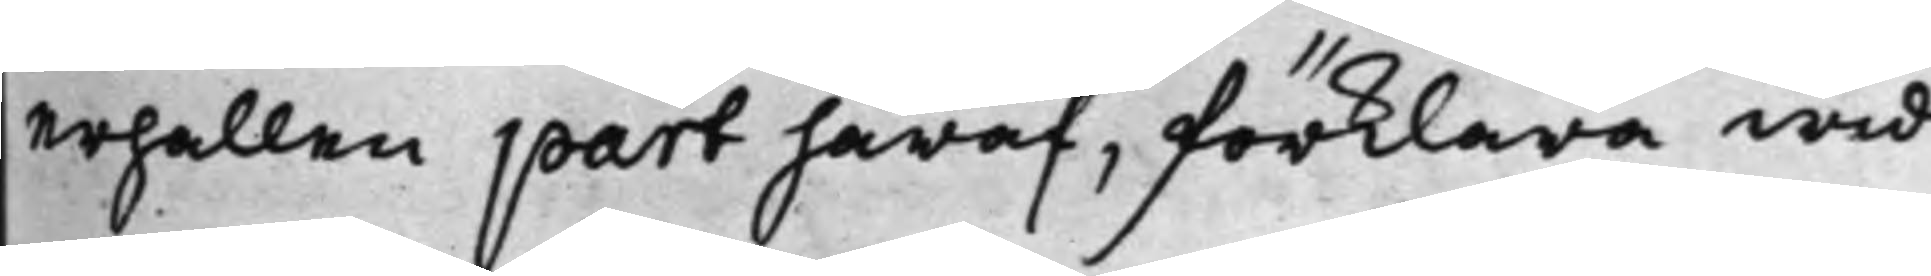erhållen part häraf, förklara wid
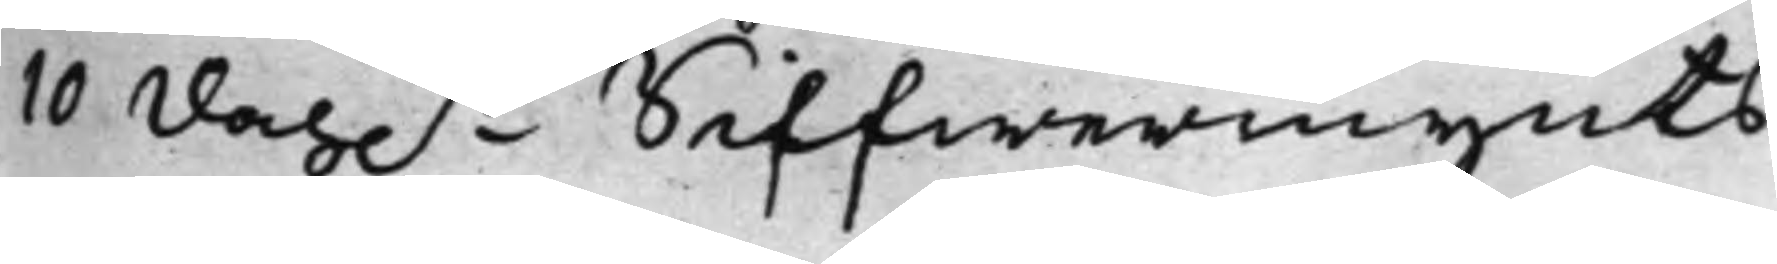10 Dal.r Siffwermynts
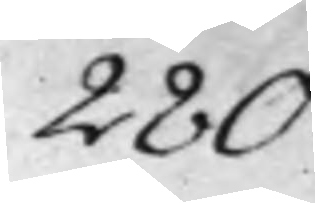280.
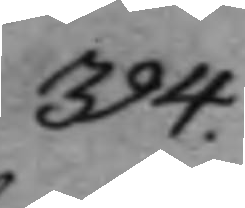394.
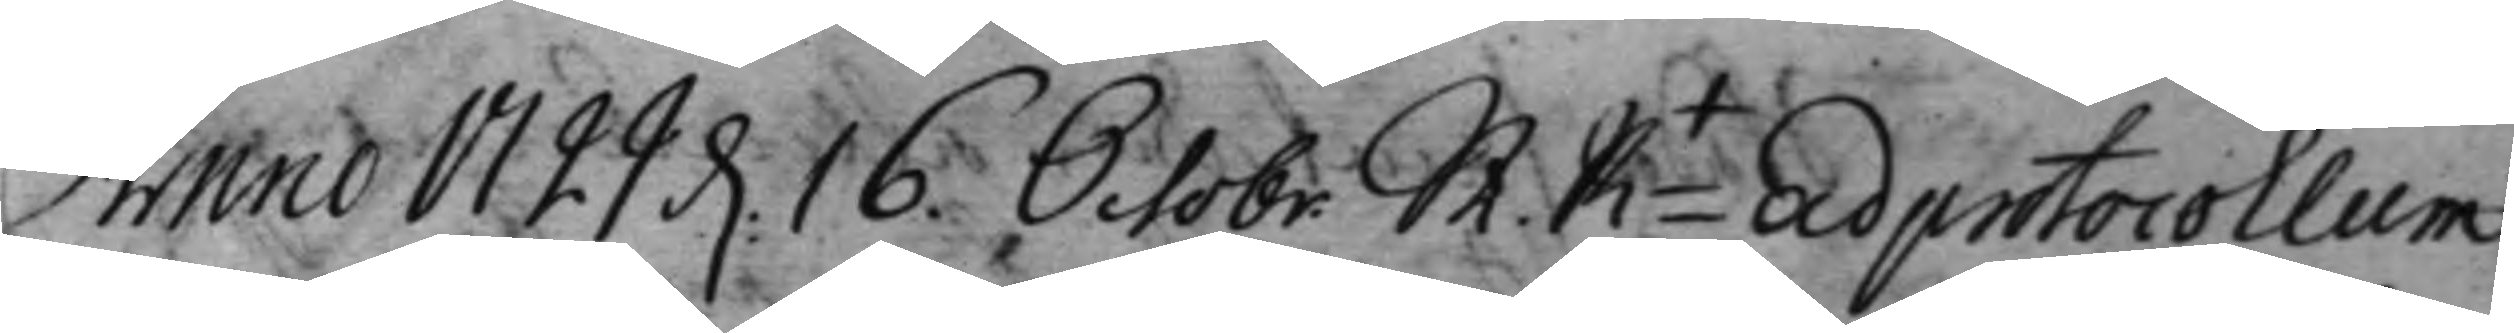Anno 1729 d. 16. Octobr. St. Pit Ad protocollum 
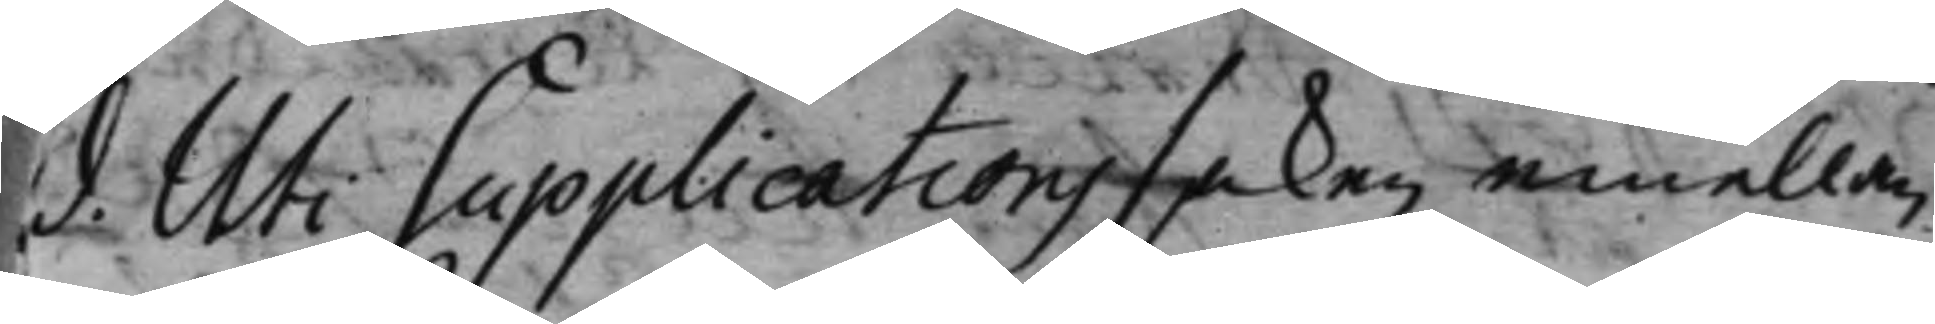d. Uti Supplications saken emellan H. Bredberg
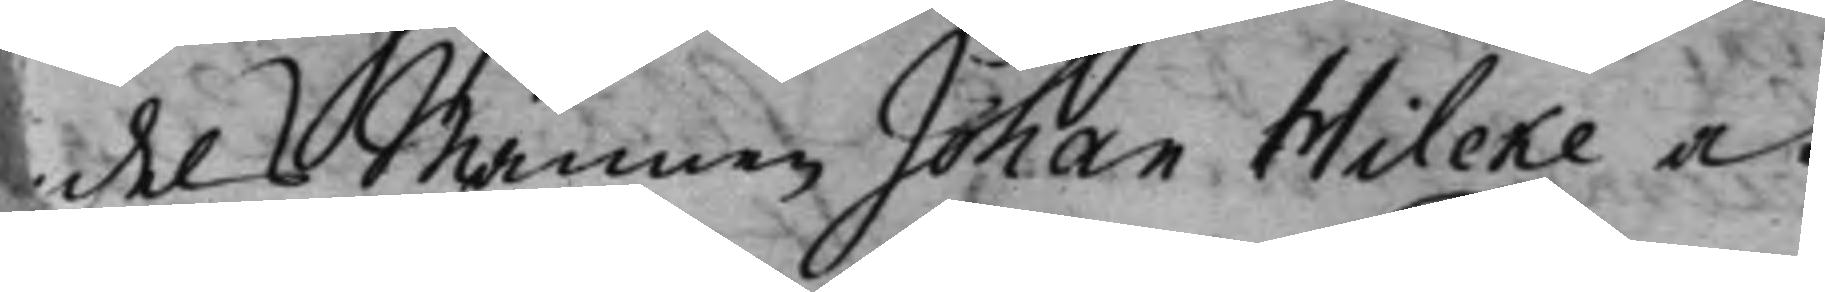dels Mannen Johan Wilcke och 
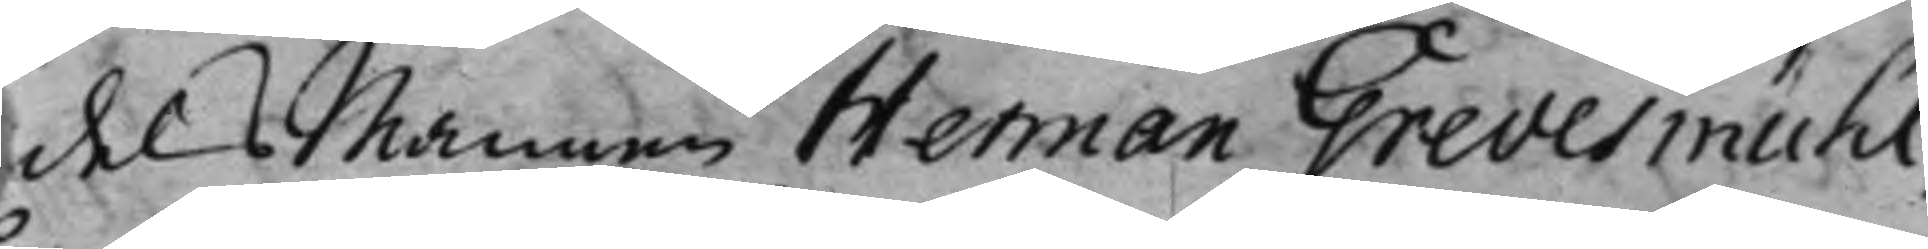dels Mannen Herman Grevesmühl,
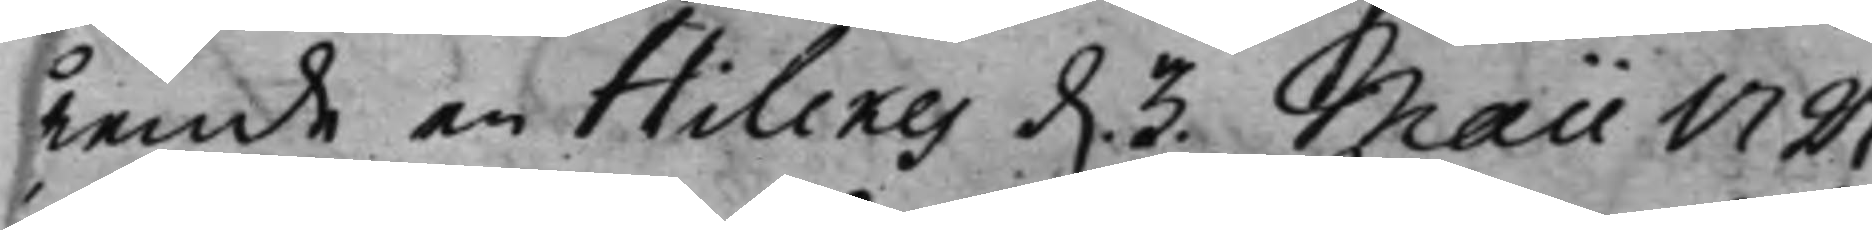ående en Hilekes d. 3 Maii 1727
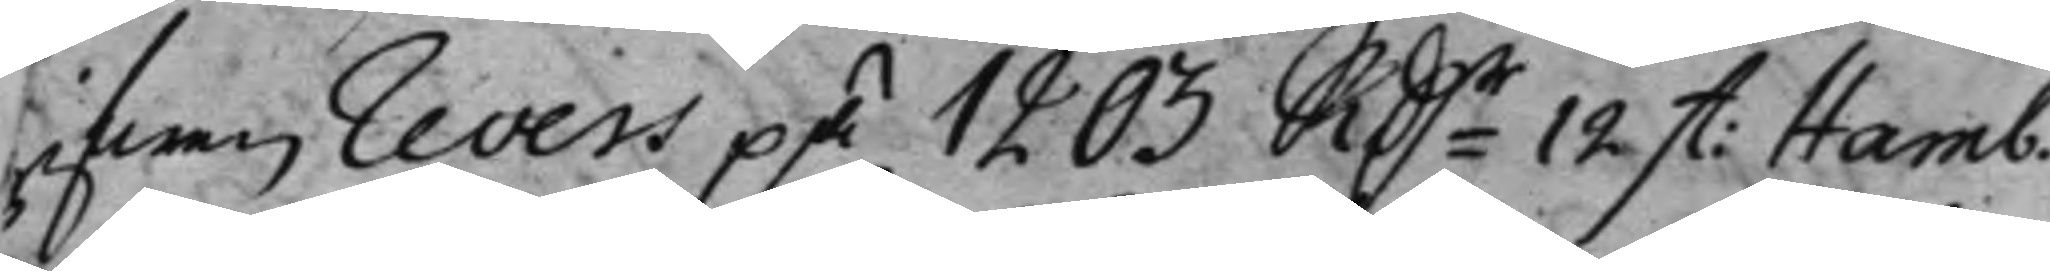gifwen revers på 1203 Rdr12 St: Hamb.
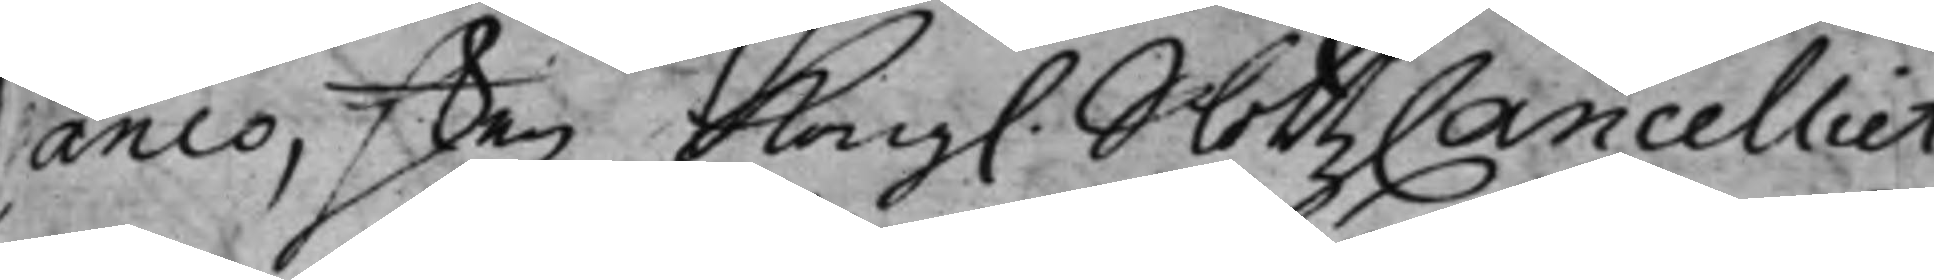Banco, den Kong. SlottzCancelliet
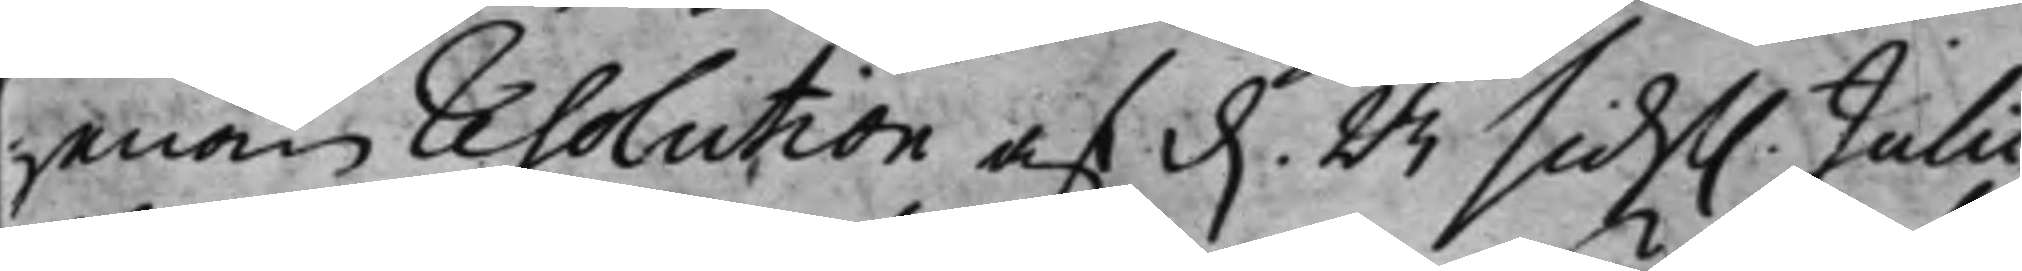genom resolution af d. 23 sidst. Julii
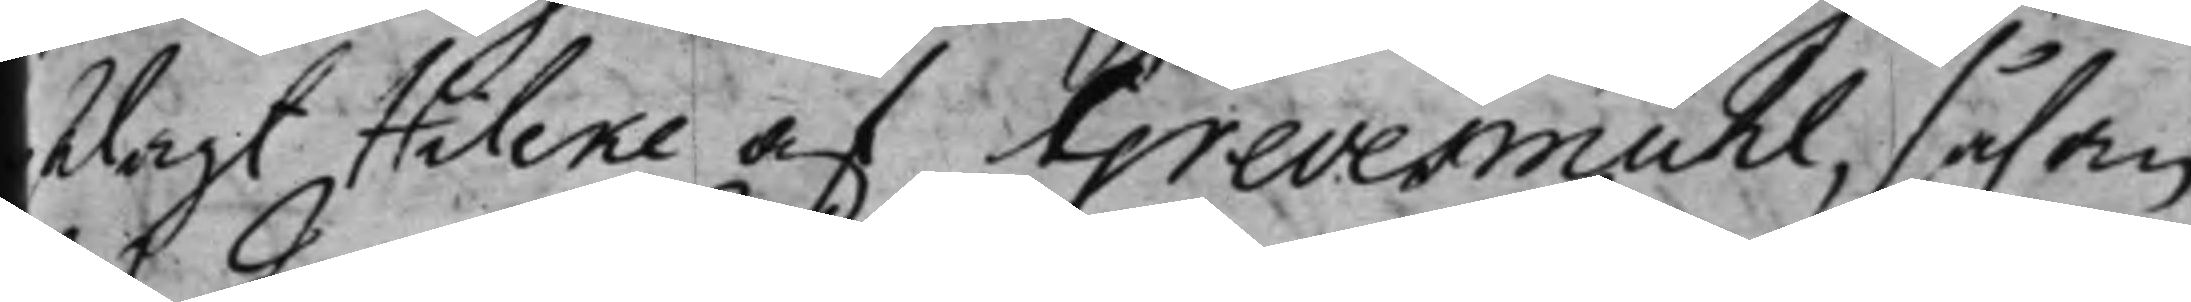ålagt Hileke af Grevesmuhl, såsom
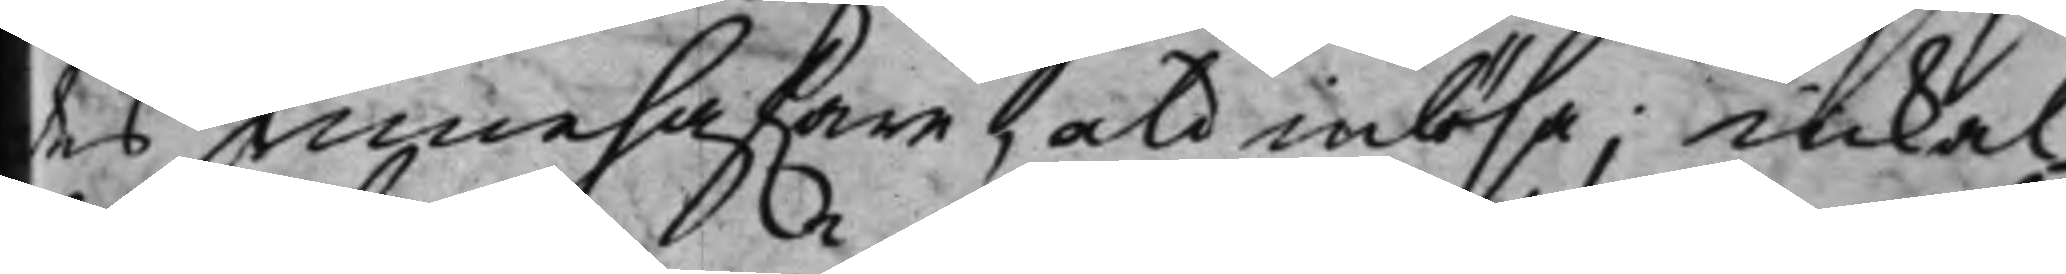des innehafware, at inlösa, inkal¬
